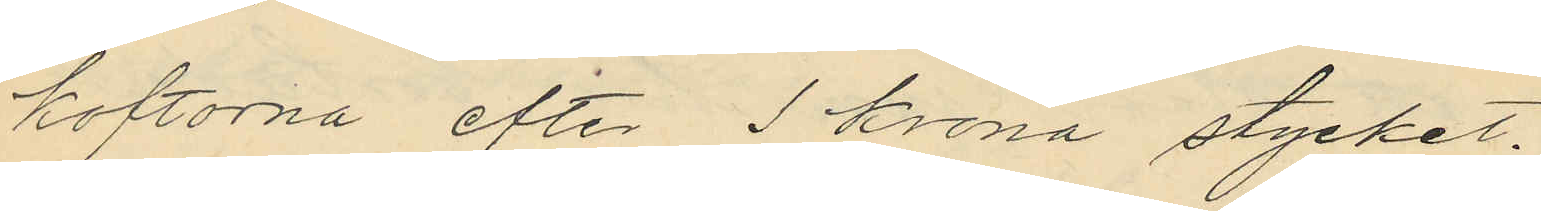koftorna efter 1 krona stycket;
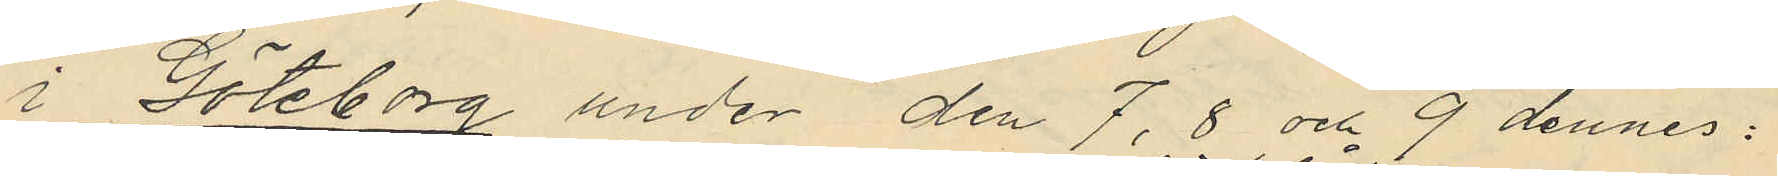i Göteborg under den 7, 8 och 9 dennes:
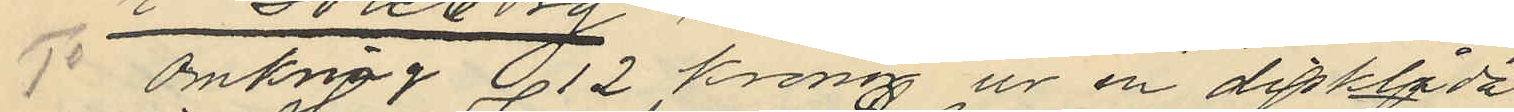1o Omkring 12 kronor ur en disklåda
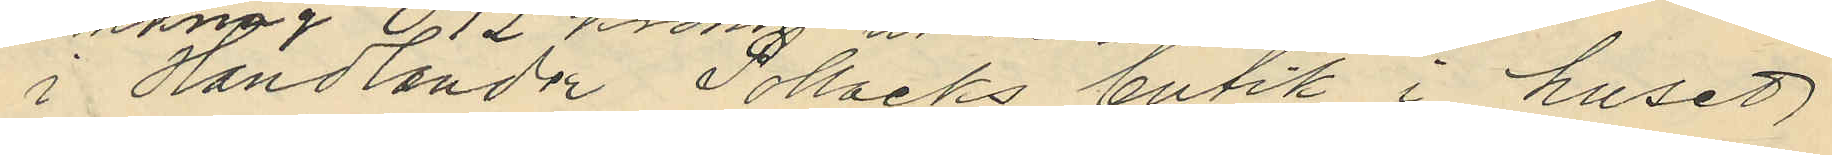i Handlanden Pollacks butik i huset
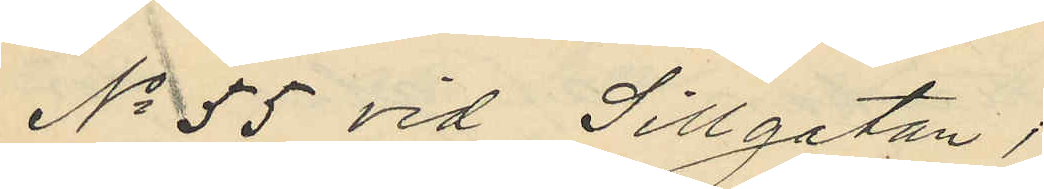No 55 vid Sillgatan,
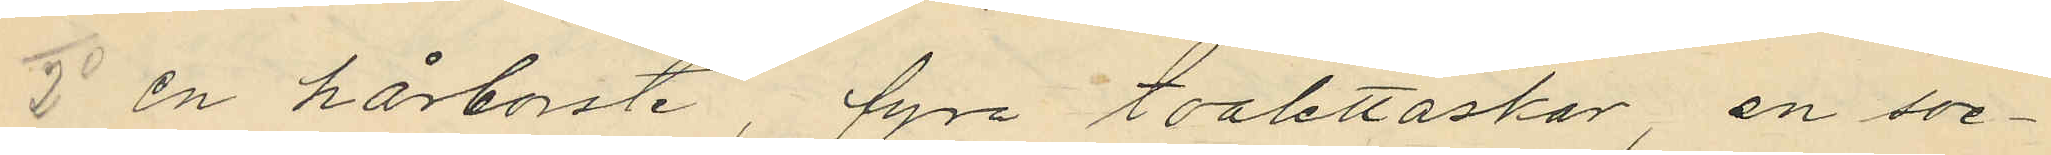2o en hårborste, fyra toalettaskar, en soc¬
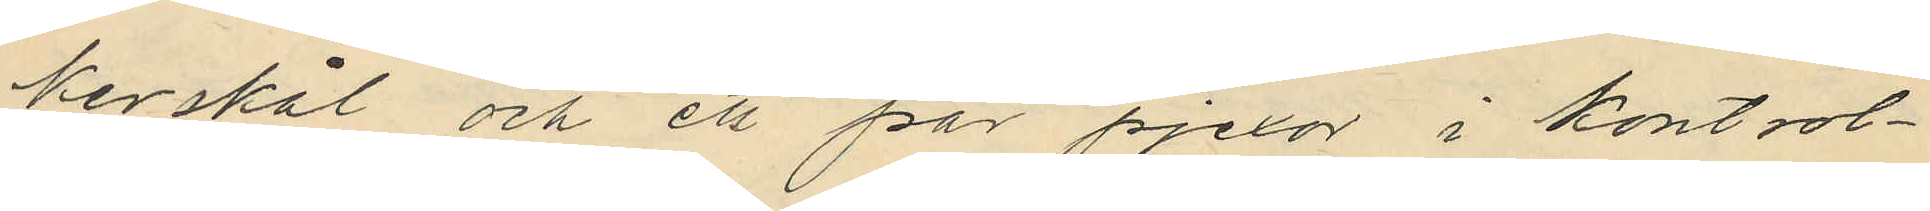kerskål och ett par pjexor i kontrol¬
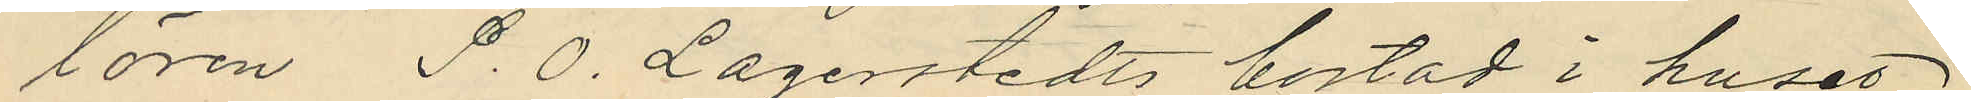lören P. O. Lagerstedts bostad i huset
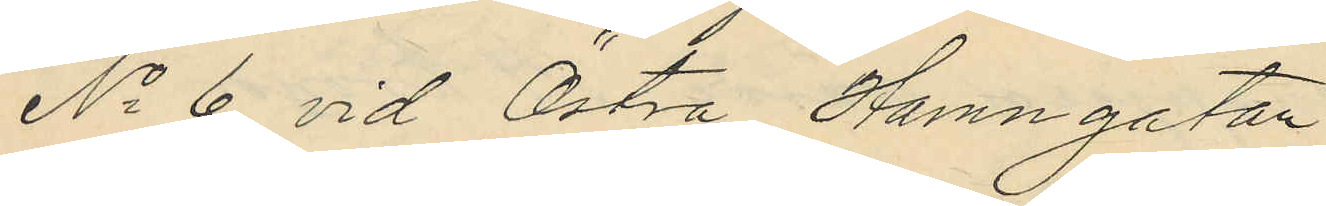No 6 vid Östra Hamngatan
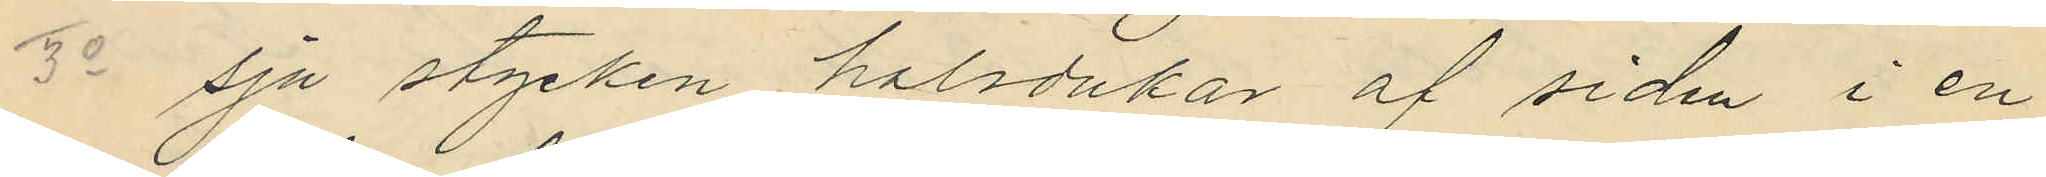3o sju stycken halsdukar af siden i en
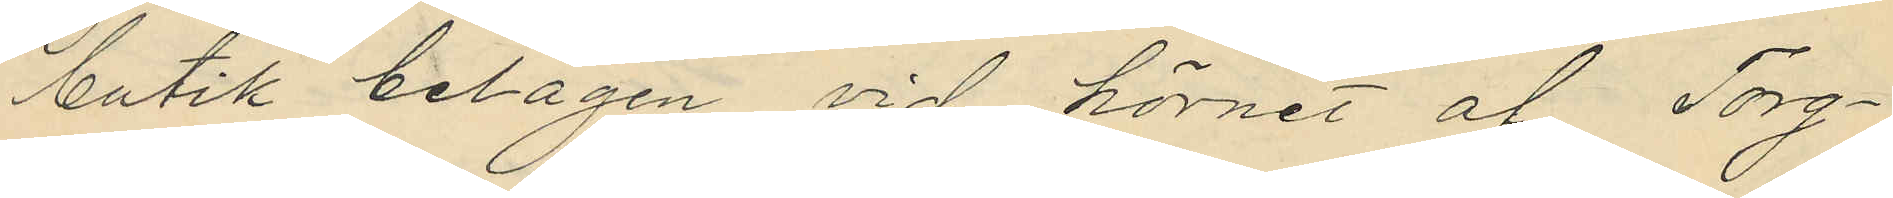butik belägen vid hörnet af Torg¬
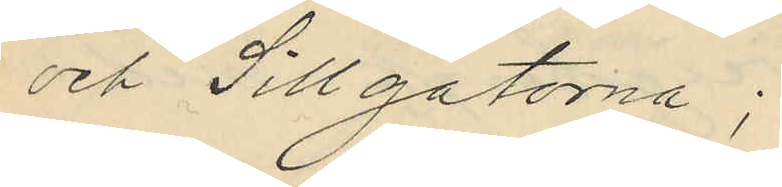och Sillgatorna;
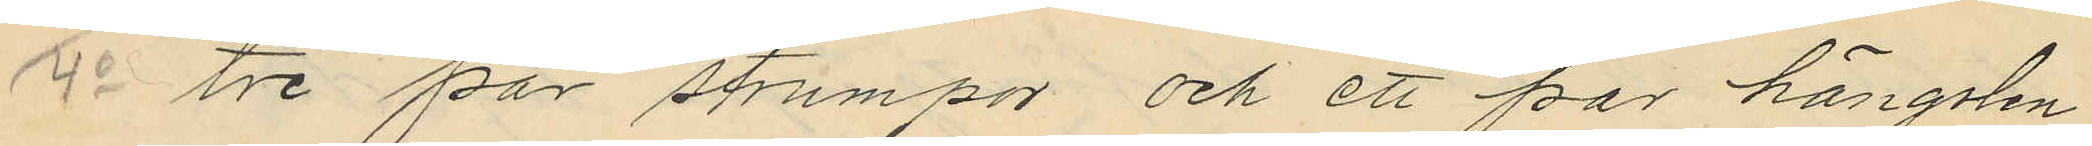 4o tre par strumpor och ett par hängslen
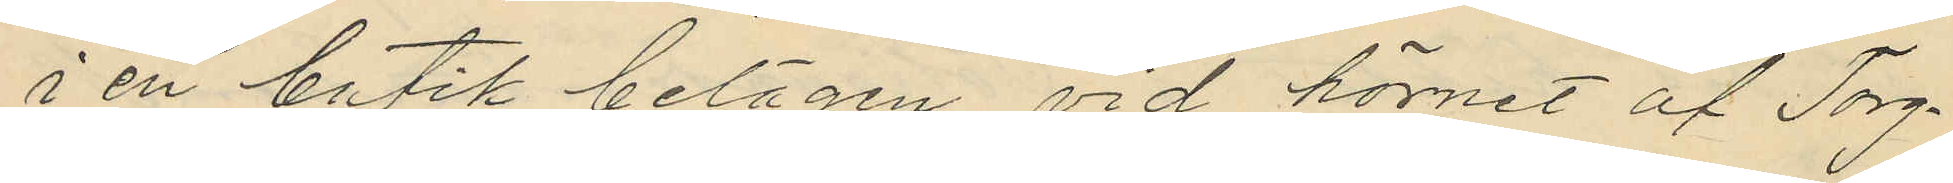i en butik belägen vid hörnet af Torg¬
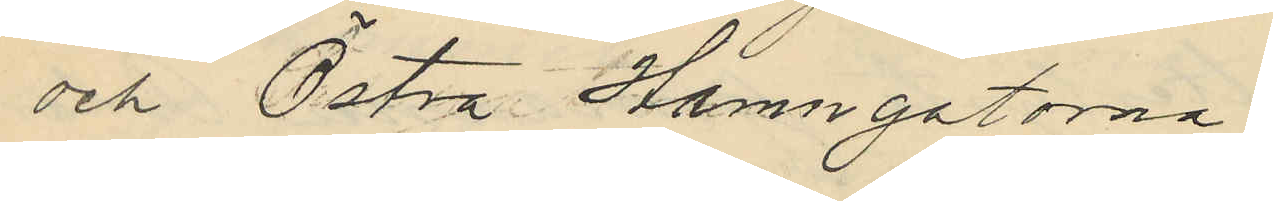och Östra Hamngatorna
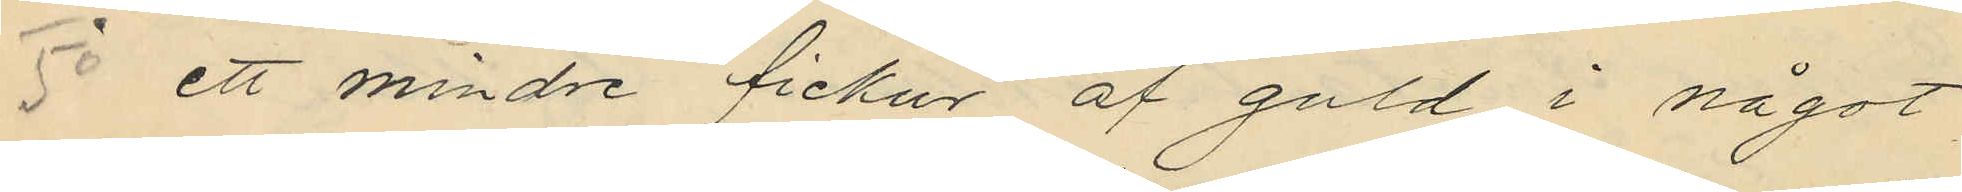5o ett mindre fickur af guld i något
